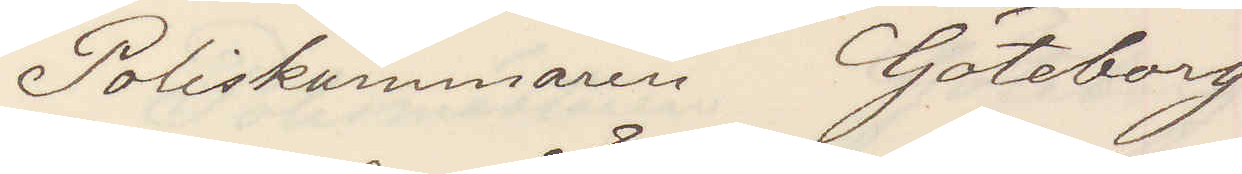Poliskammaren Göteborg
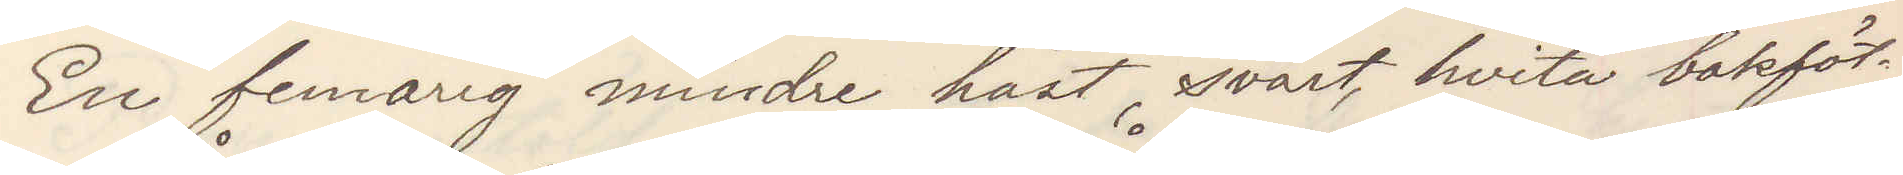En femårig mindre häst svart hvita bakföt¬
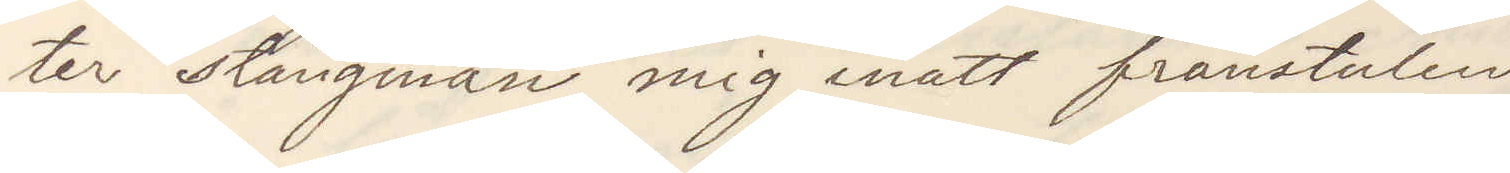ter stångman mig inatt frånstulen
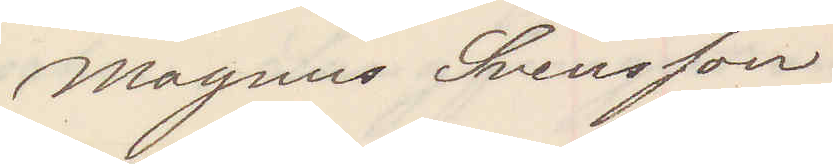Magnus Svensson
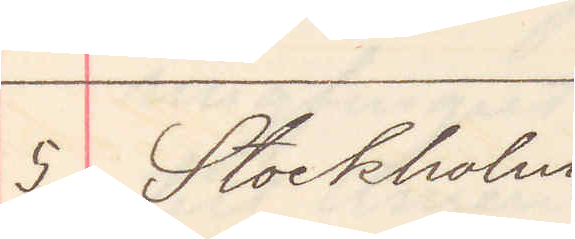5 Stockholm
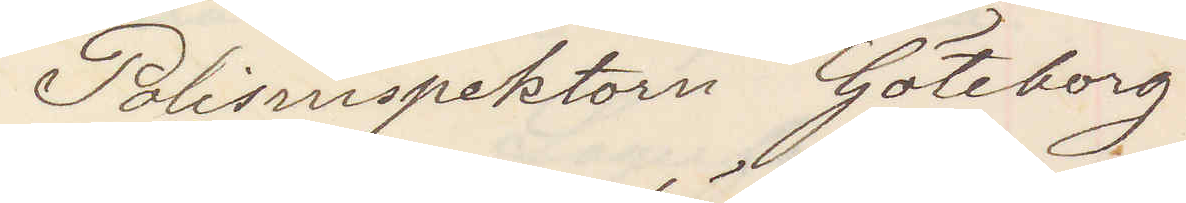Polisinspektorn Göteborg
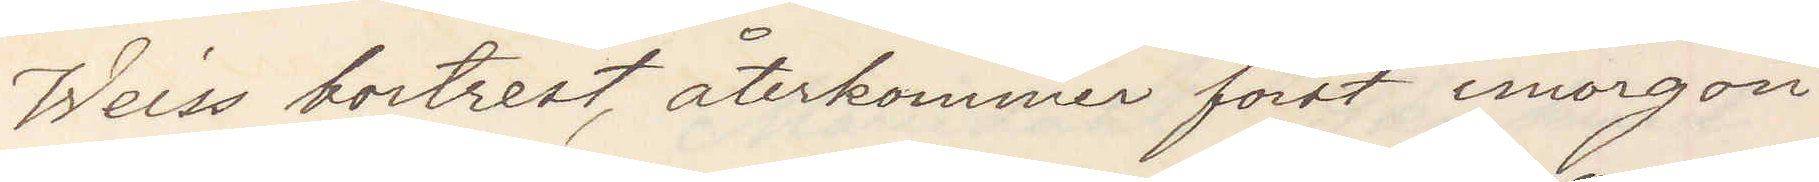Weiss bortrest återkommer först imorgon
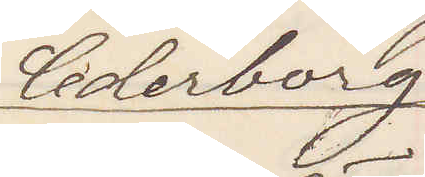Cederborg
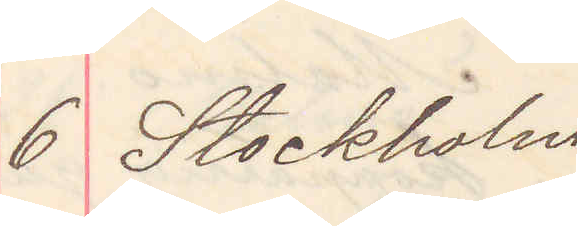6 Stockholm
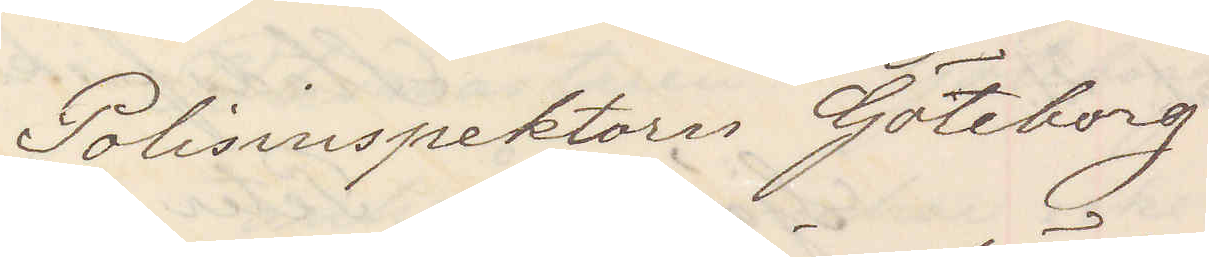Polisinspektorn Göteborg
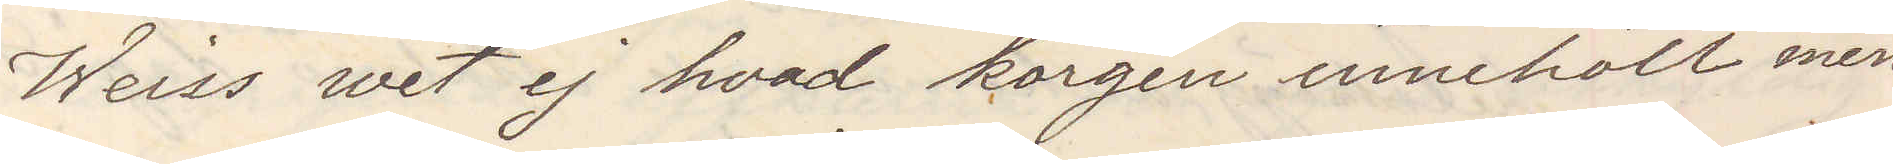Weiss wet ej hvad korgen innehöll men
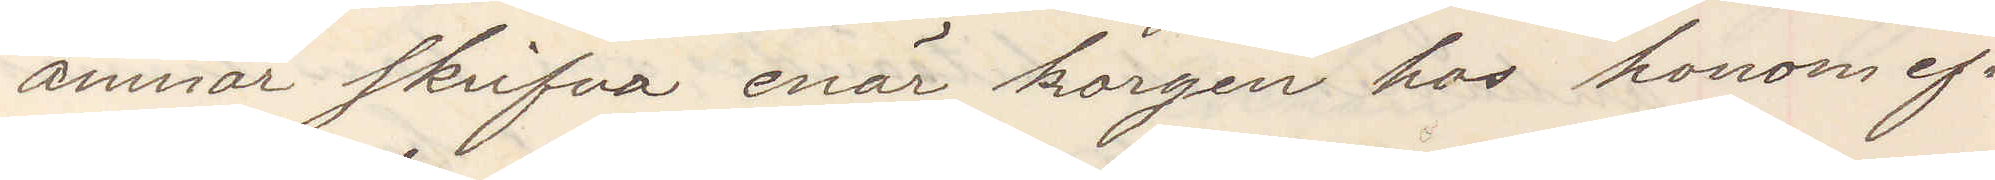ämnar skrifva enär korgen hos honom ef¬
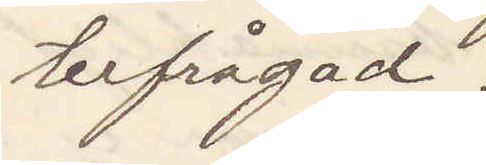terfrågad.
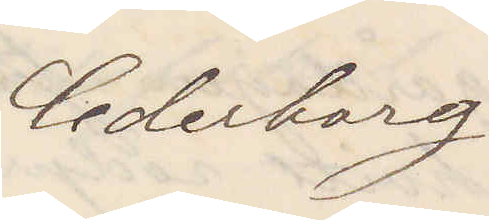Cederborg
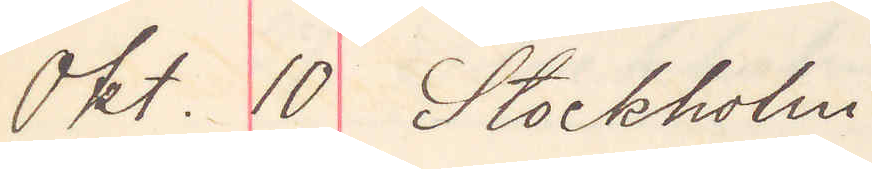Okt. 10 Stockholm
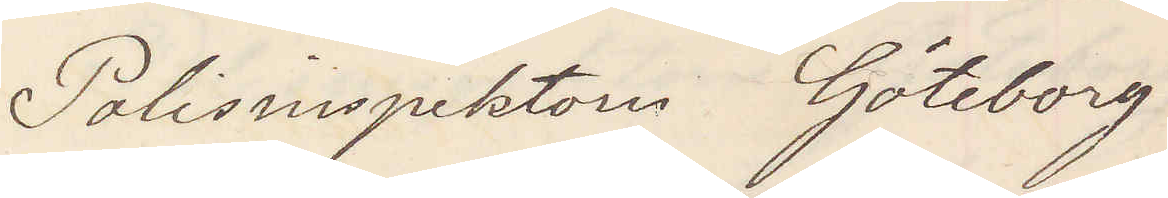Polisinspektorn Göteborg
